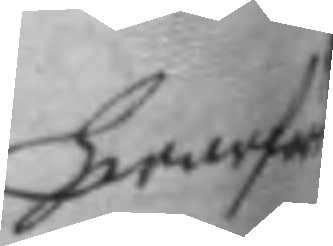hwarföre
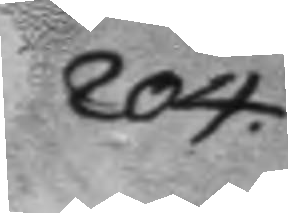204.
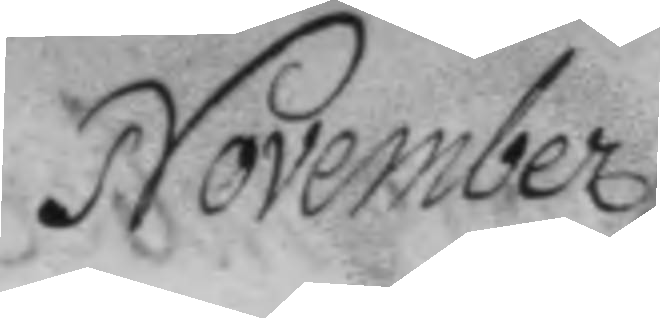November
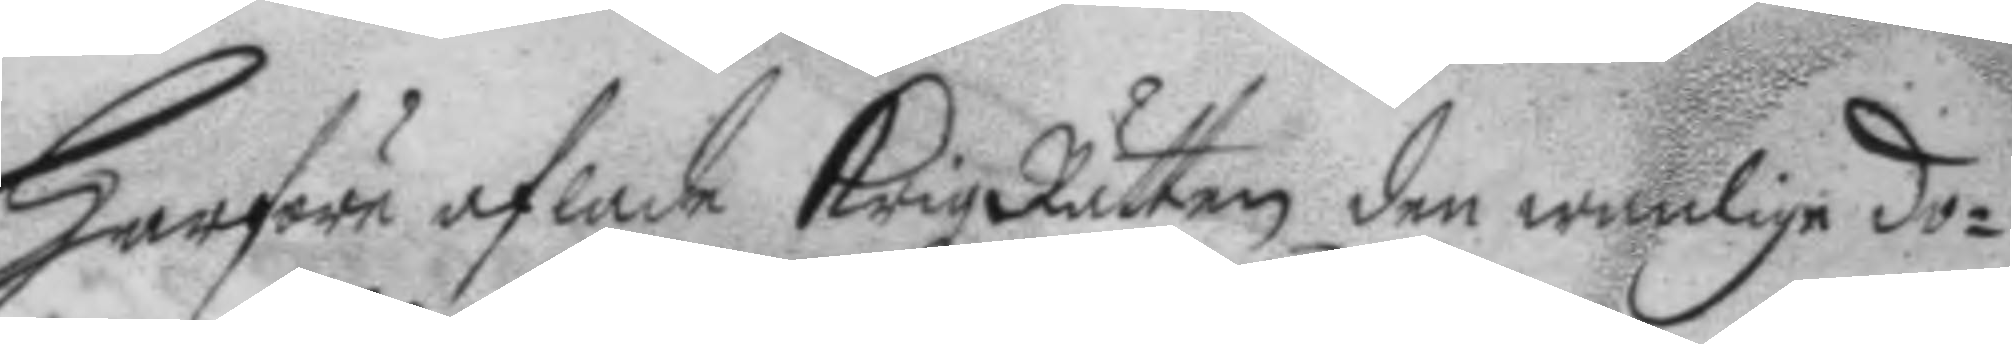hwarföre aflade Krigz Rätten den wanlige do¬
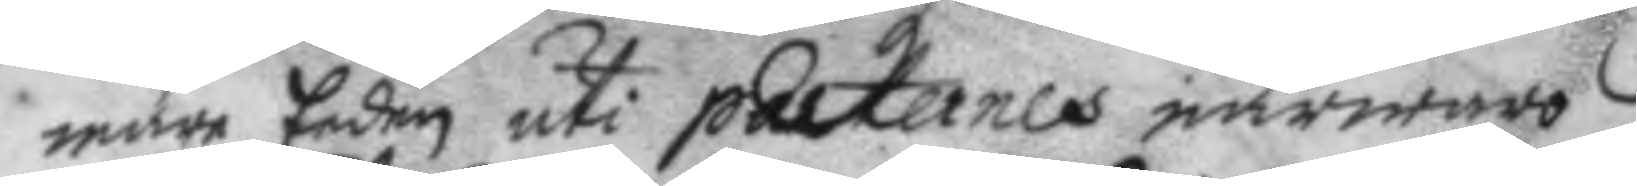mare Eeden uti parternes närwaro.
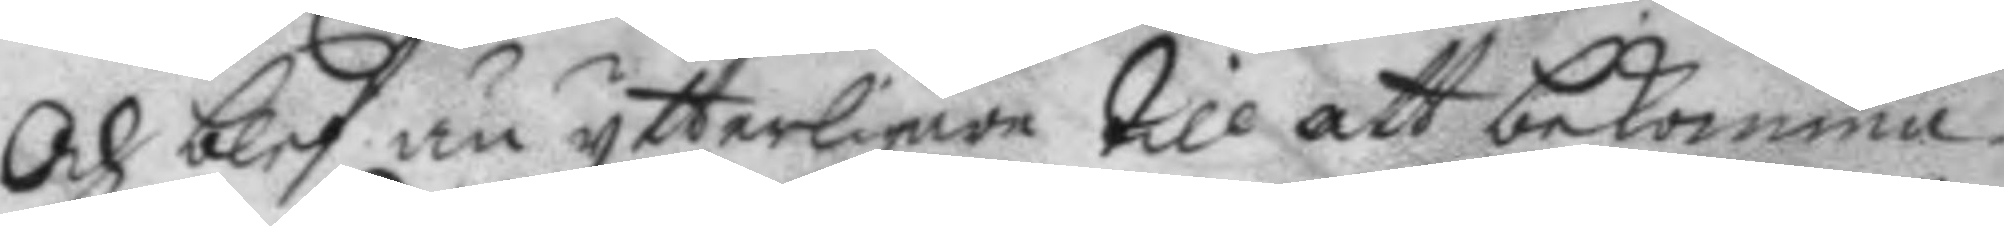Och blef än ytterligare till att bekomma
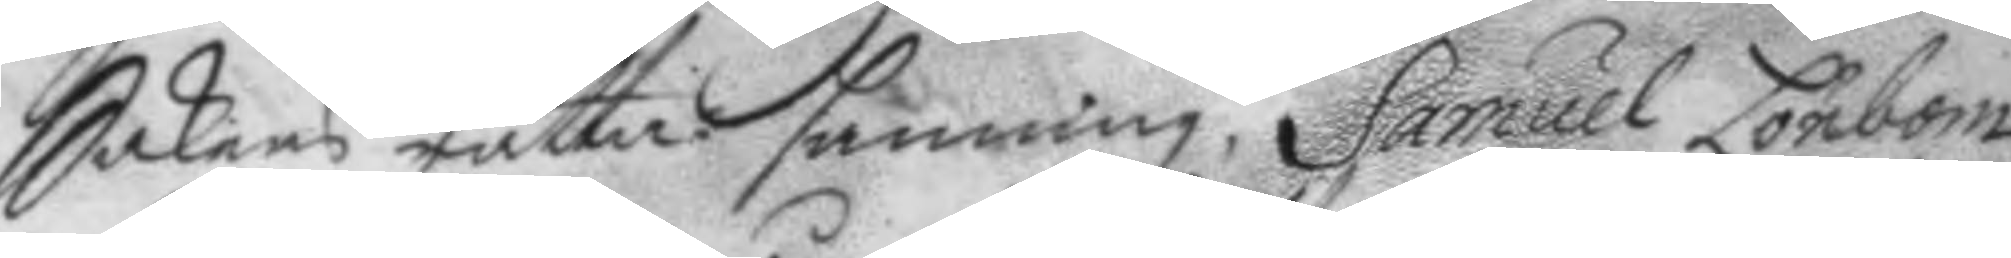Sakens rätta sanning. Samuel Lönbom
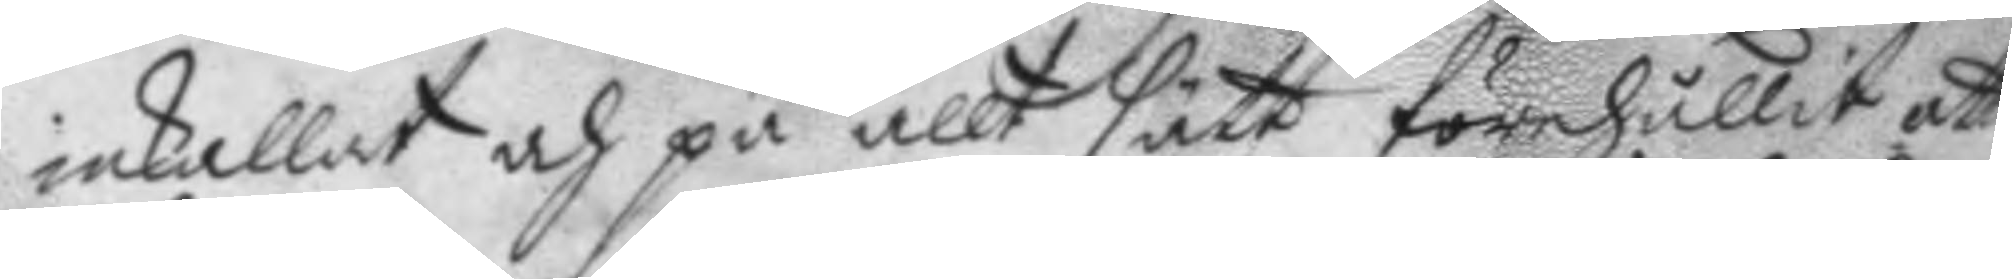inkallat och på allt sätt förehållit att
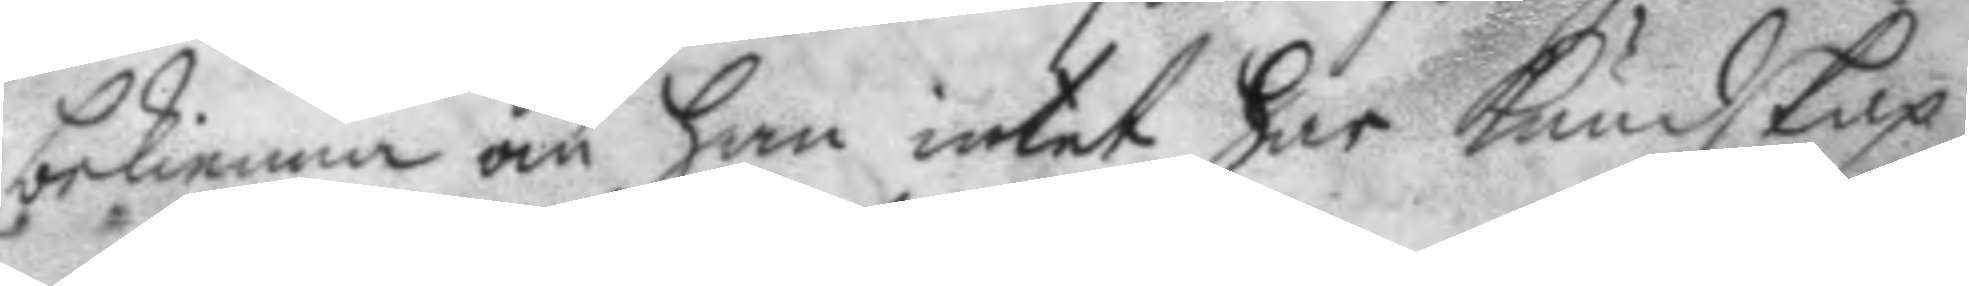bekienna om han intet har kundskap
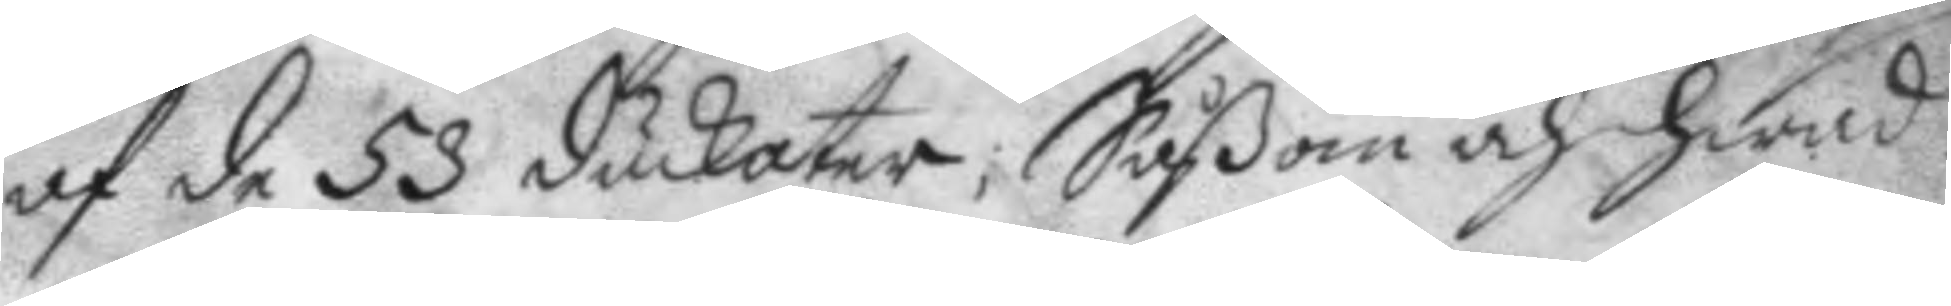af de 53 duckater, Såßom och hwad
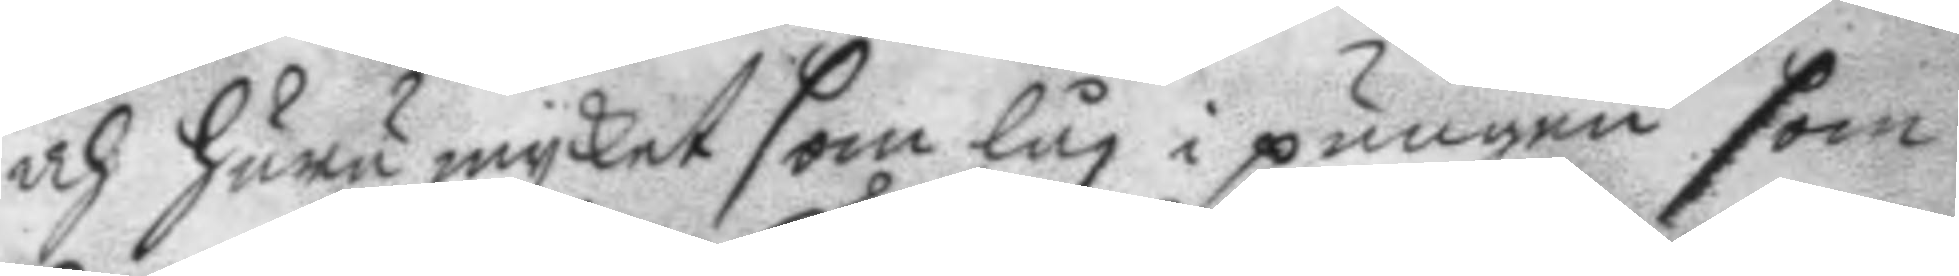och huru mycket som låg i pungen som
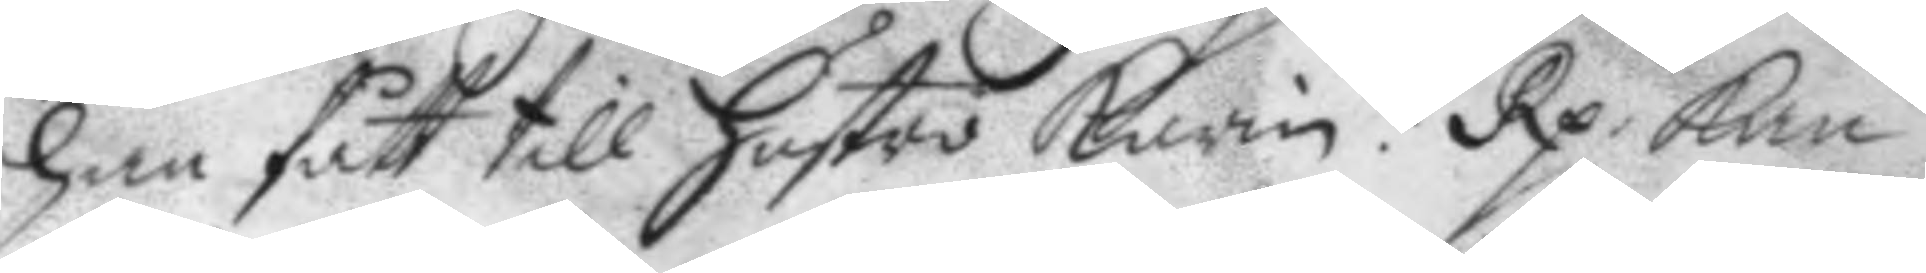han fått till hustro karin? Rp. kan
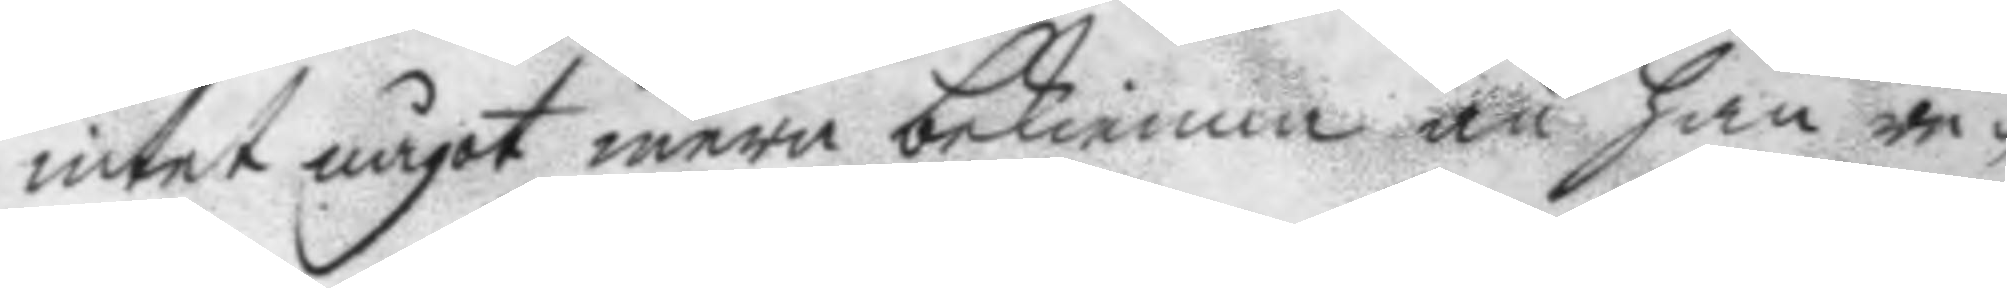intet något mera bekienna än han re¬
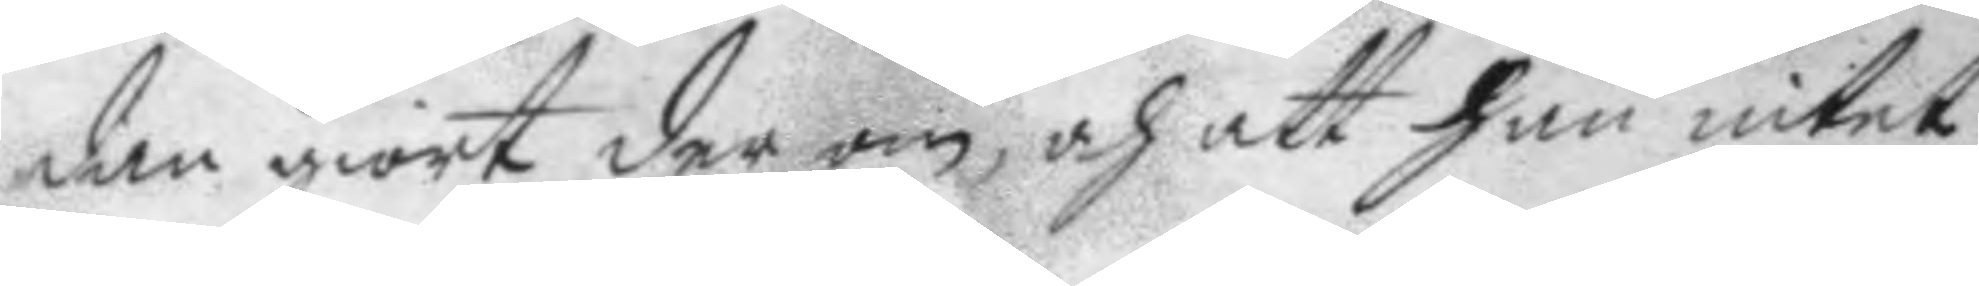dan giort der om, och att han intet
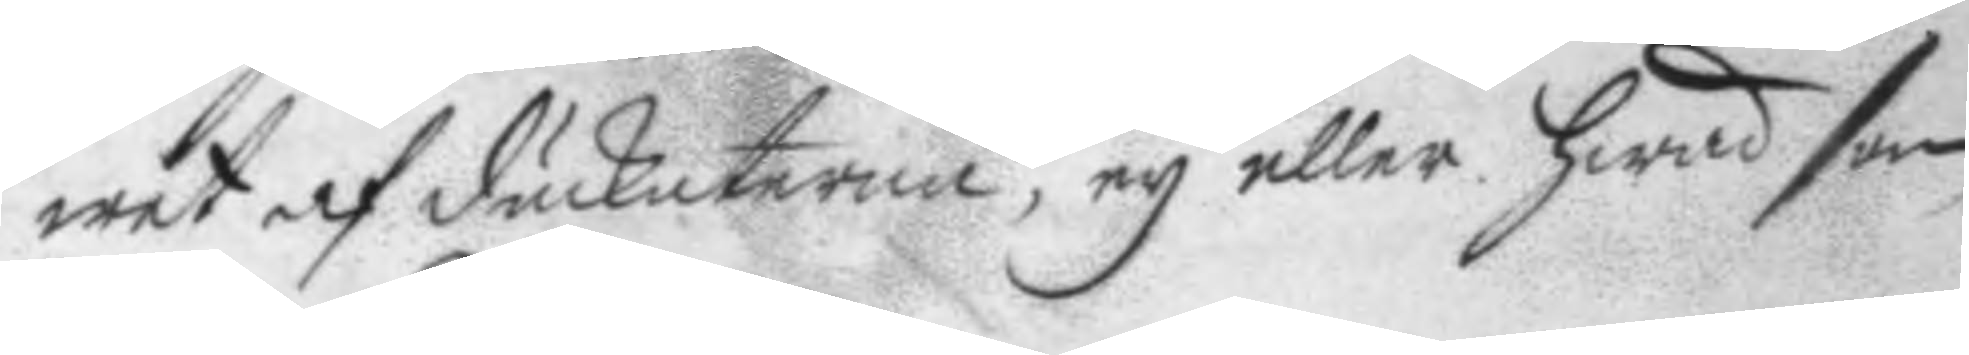wet af duckaterna, ey eller hwad som
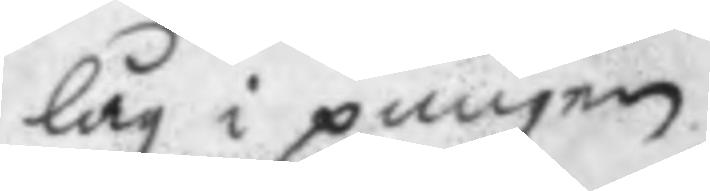låg i pungen.
